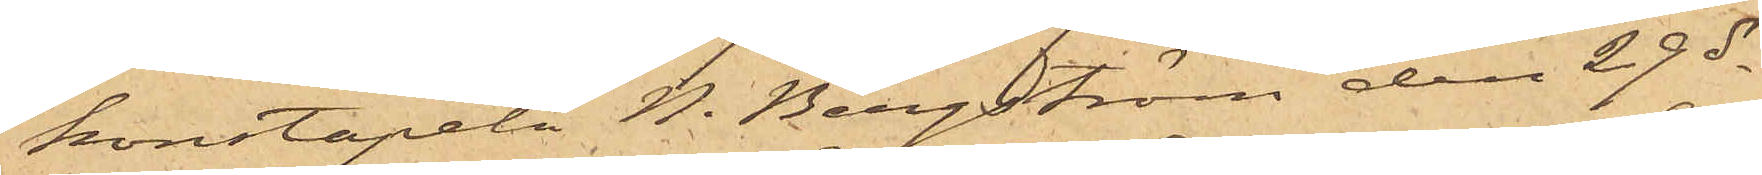konstapeln N. Bergström den 29 ds
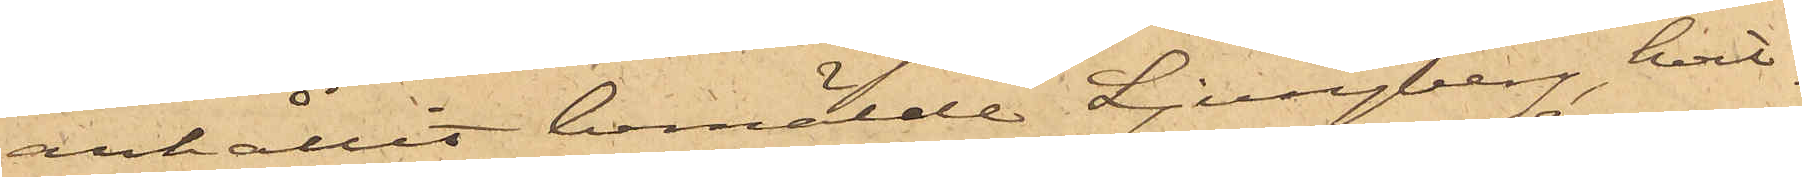anhållit bemälde Ljungberg, hvil¬
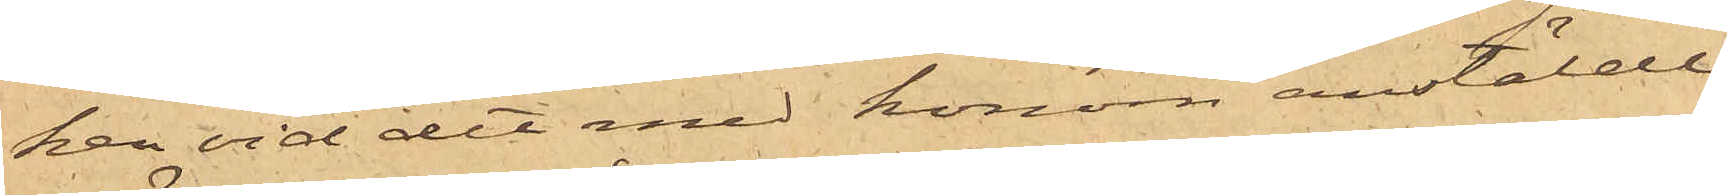ken vid det med honom anstälde
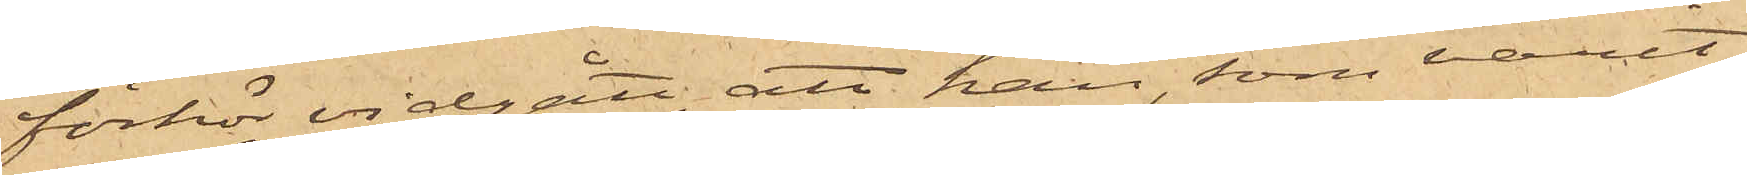förhör vidgått, att han, som varit
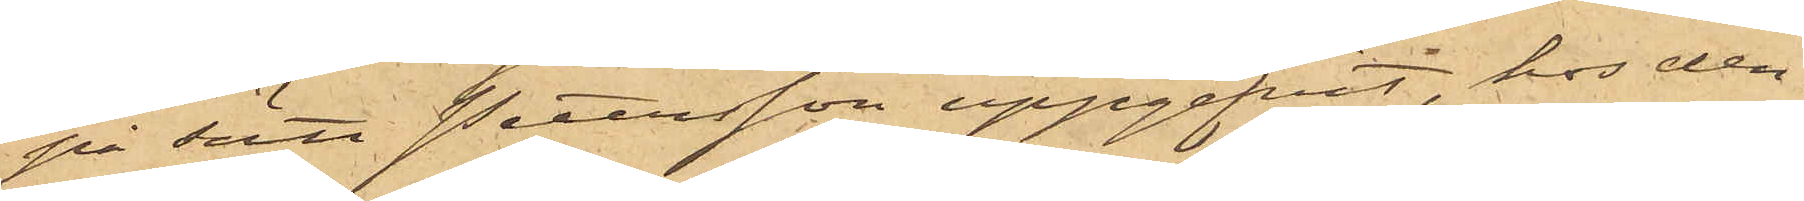på sätt Petersson uppgifvit, hos den¬
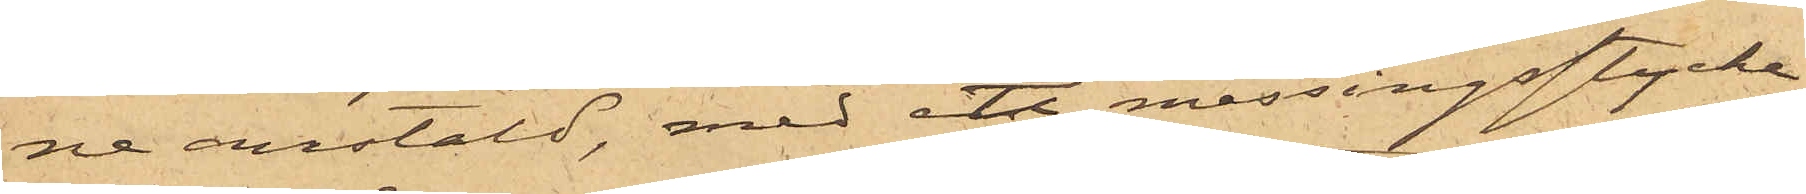ne anstäld, med ett messingsstycke
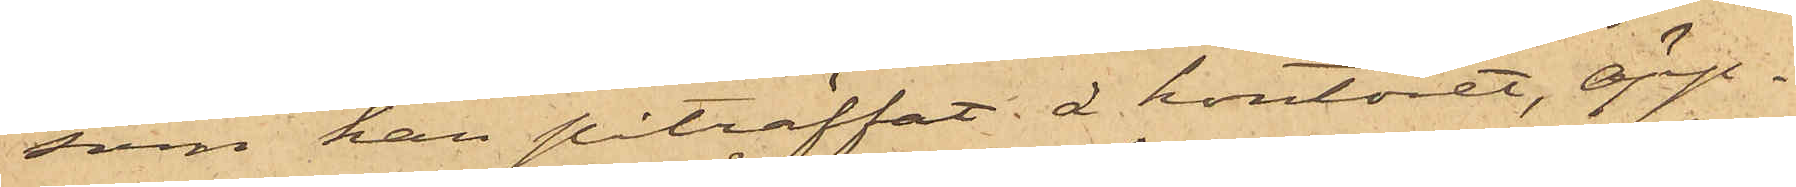som han påträffat å kontoret, öpp¬
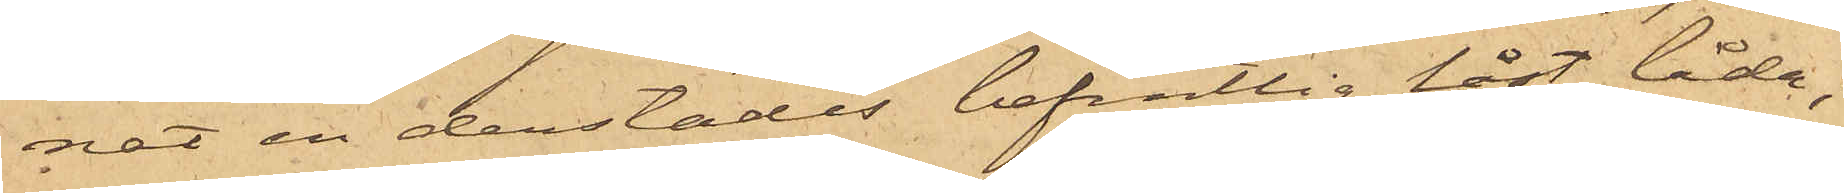nat en derstädes befintlig låst låda;
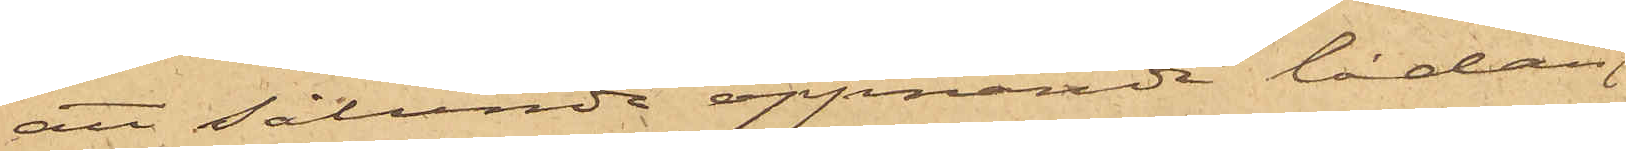att sålunda öppnande lådan
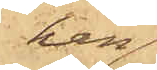han
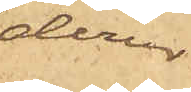derur
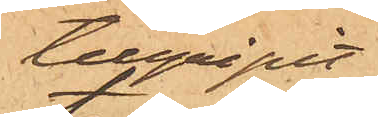tillgripit
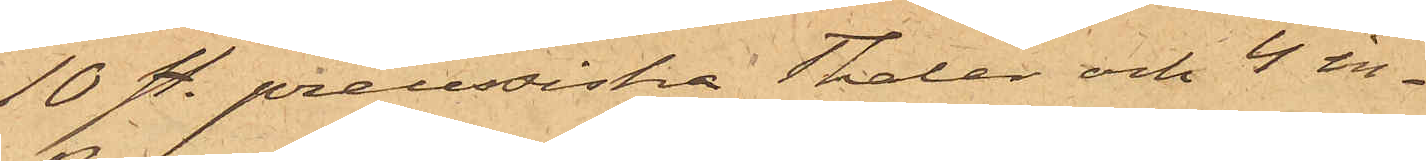10 st. preussiska Thaler och 4 in¬
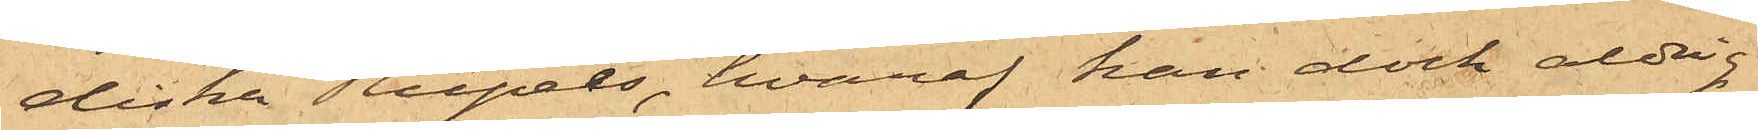diska Rupees, hvaraf han dock aldrig
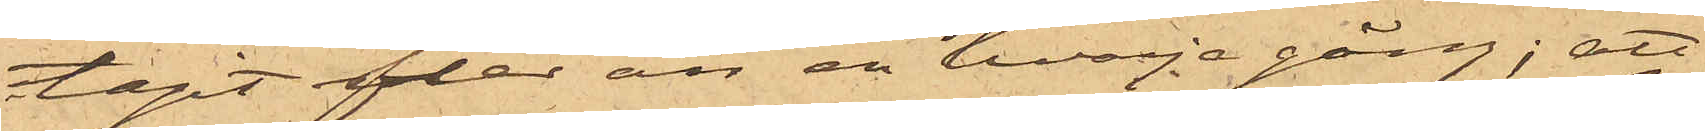tagit fler än en hvarje gång; att
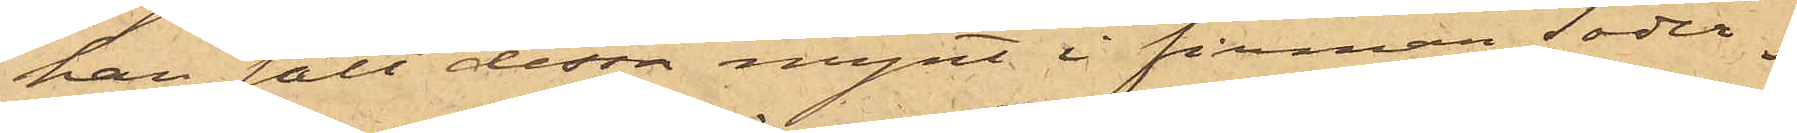han sålt dessa mynt i firman Söder¬
